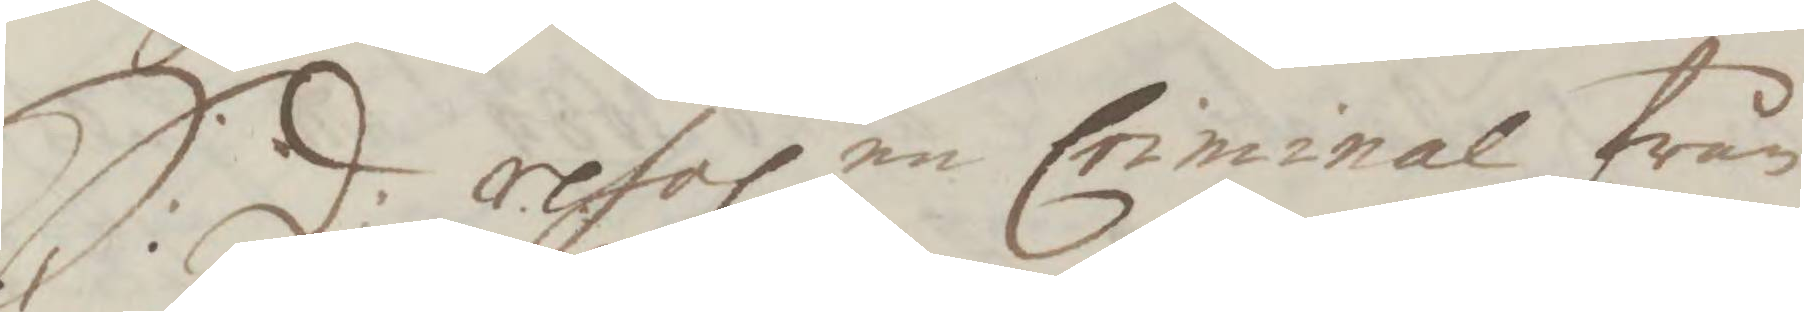S:d: resol. en Criminal från
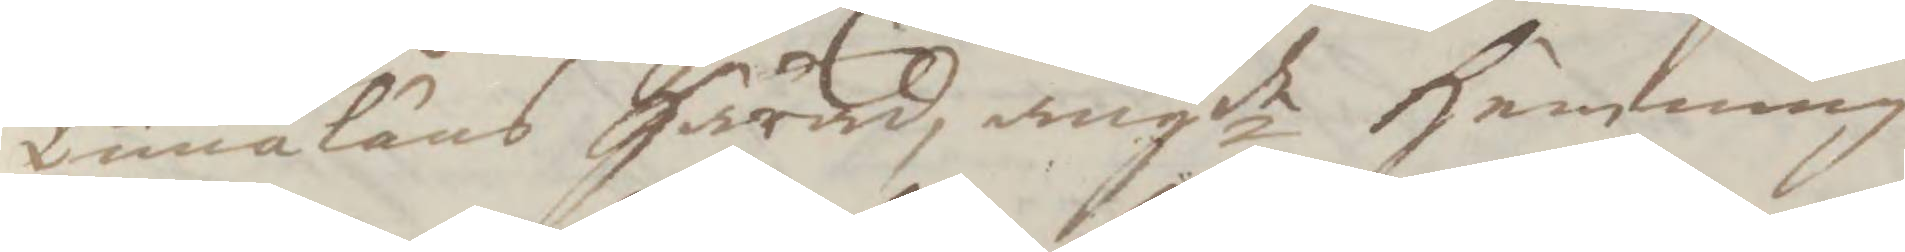Tunaläns Härad, angde Hemming
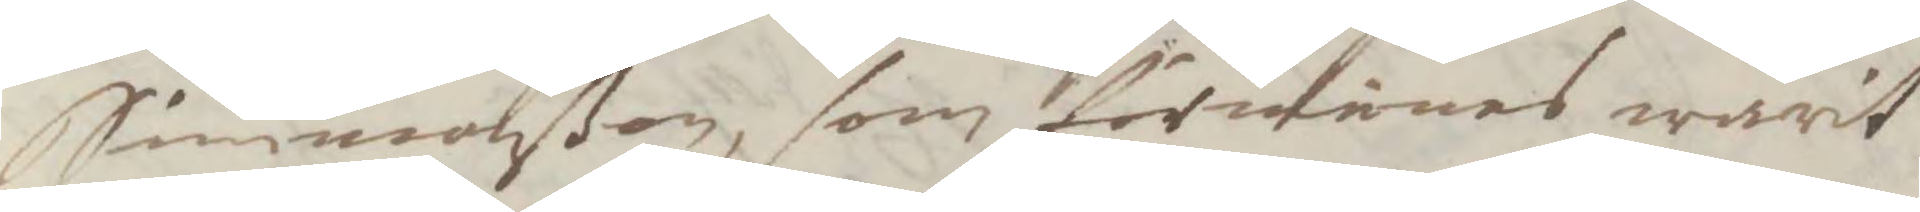Simonßon, som förunnes warit
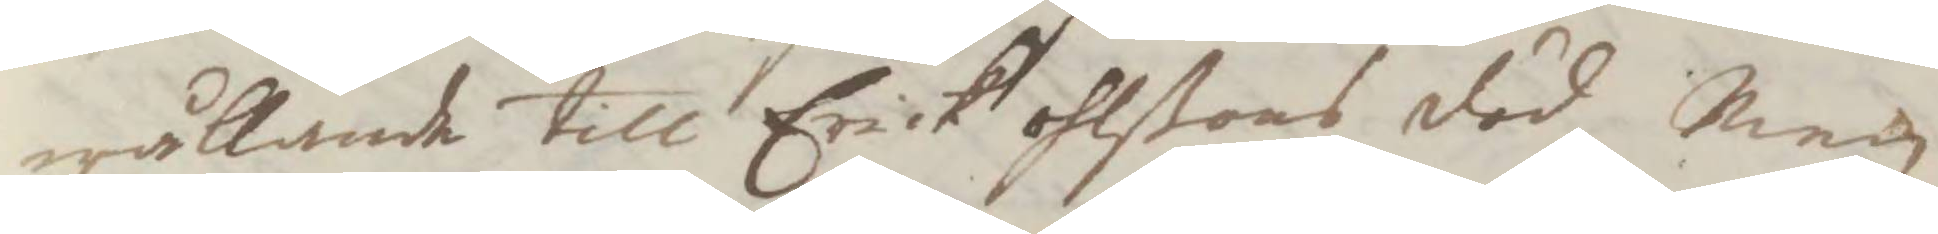wållande till Erick ohlßons död, Men
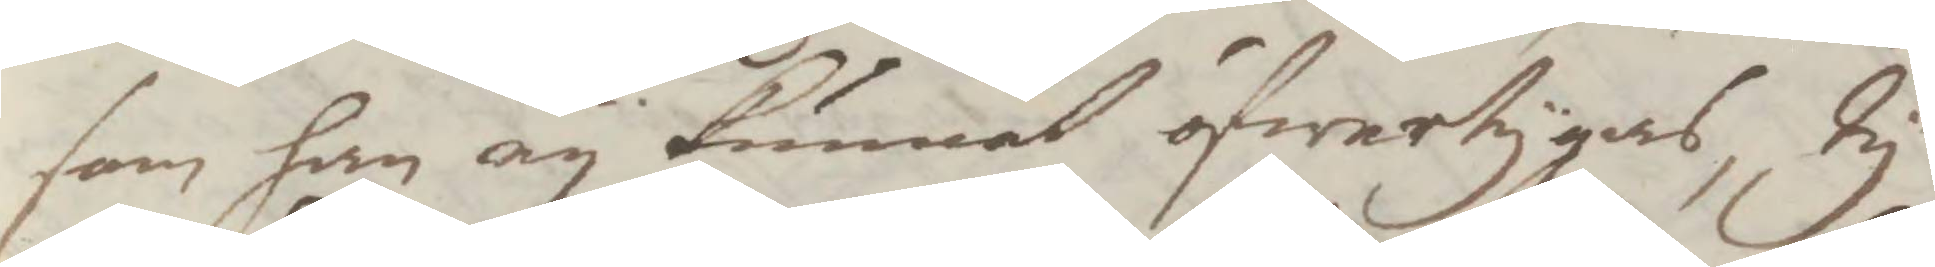som han ey kunnat öfwertygas, Ty
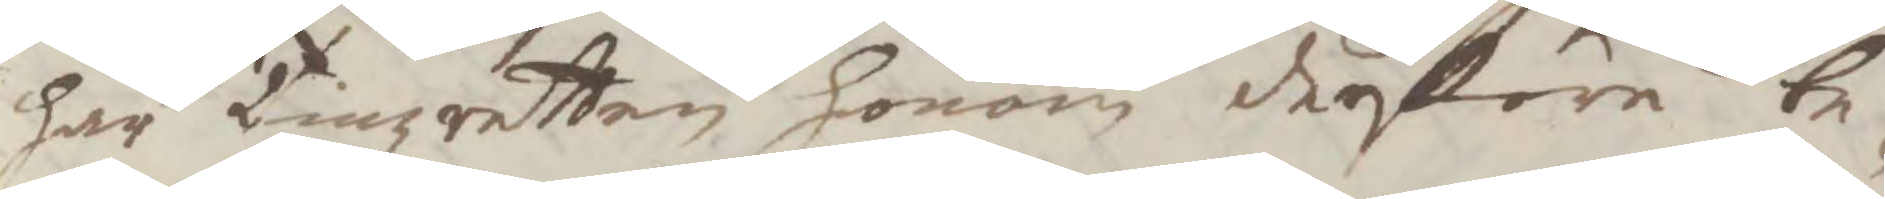har Tingzretten honom derföre be¬
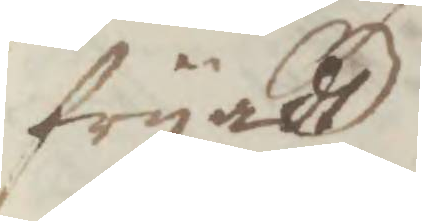fryadt.
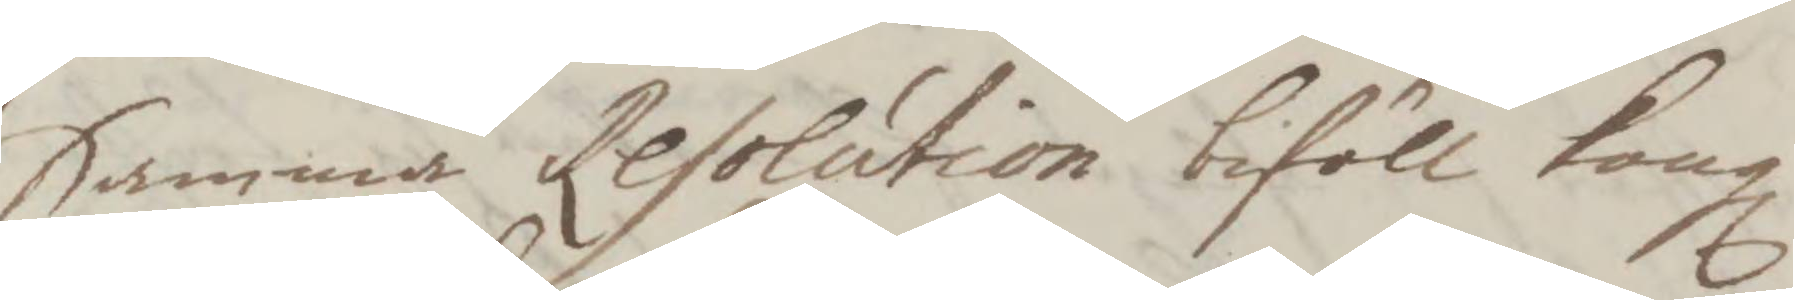Samma Resolution biföll Kongl
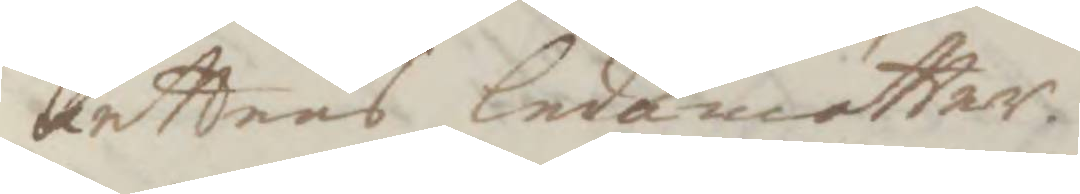Rettens ledamötter.
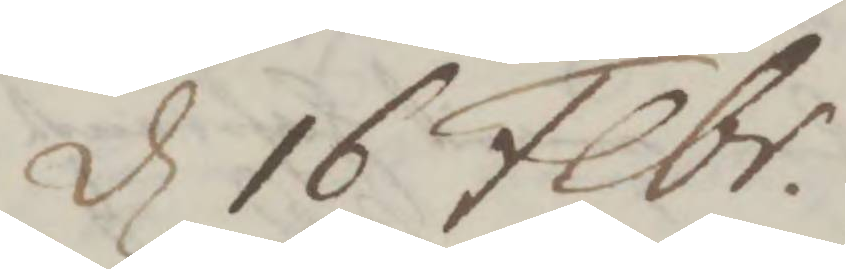d 16 Febr.
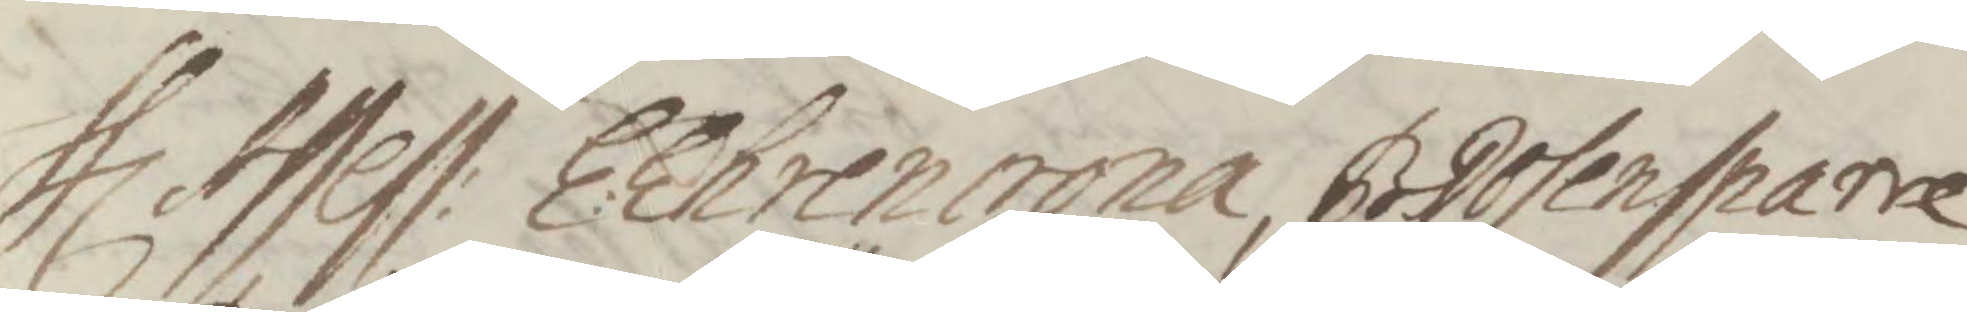Hlr Assess: E:Ehrencrona, B.Rosensparre
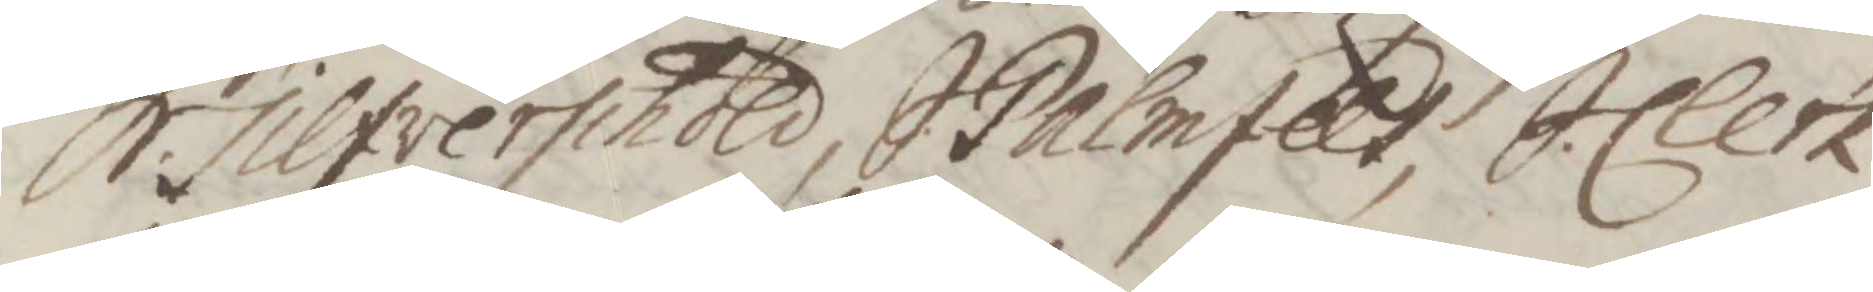S:Silfverschöld, S:Palmfelt, S.Clerk
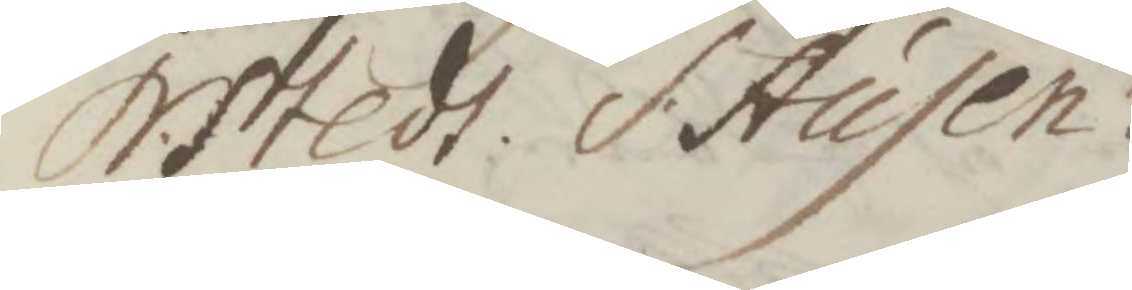N.Stedt, S.Ausen
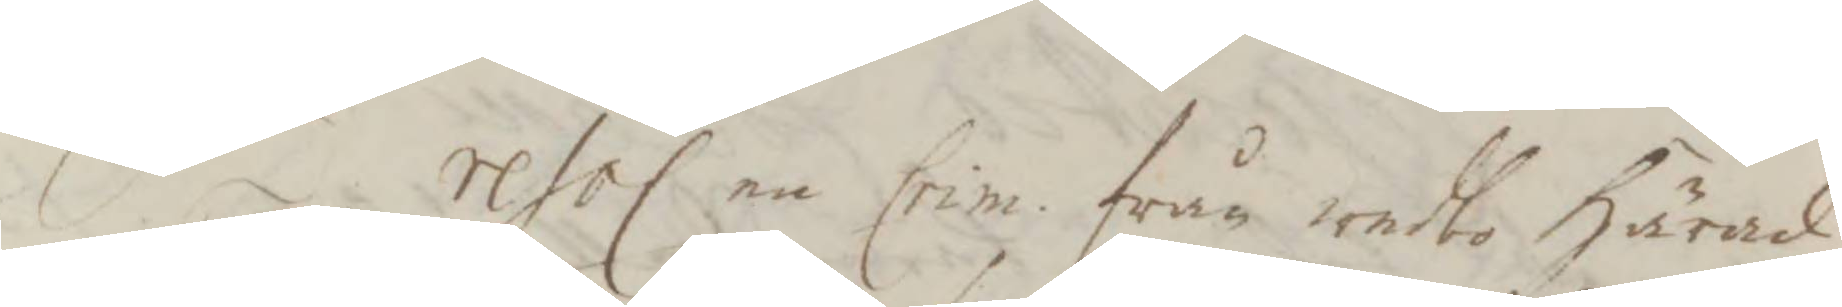S. d. resol. en Crim. från wedbo Härad
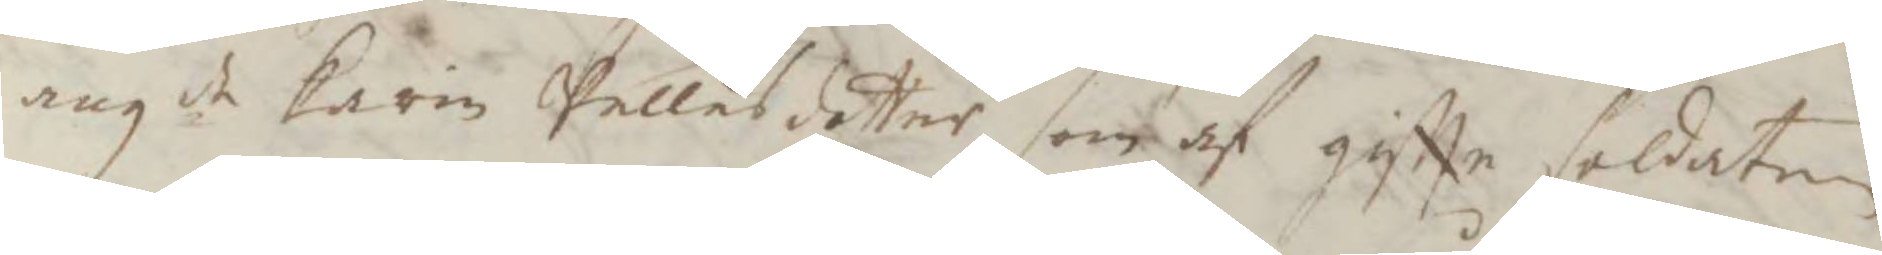angde Karin Pellesdotter, som af gifte soldaten
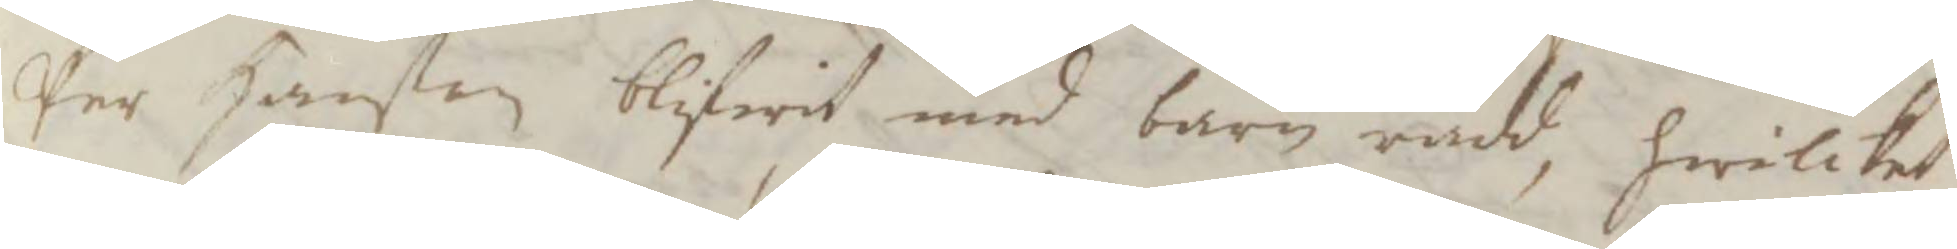Per Hanßon blifwit med barn rådd, hwilket
